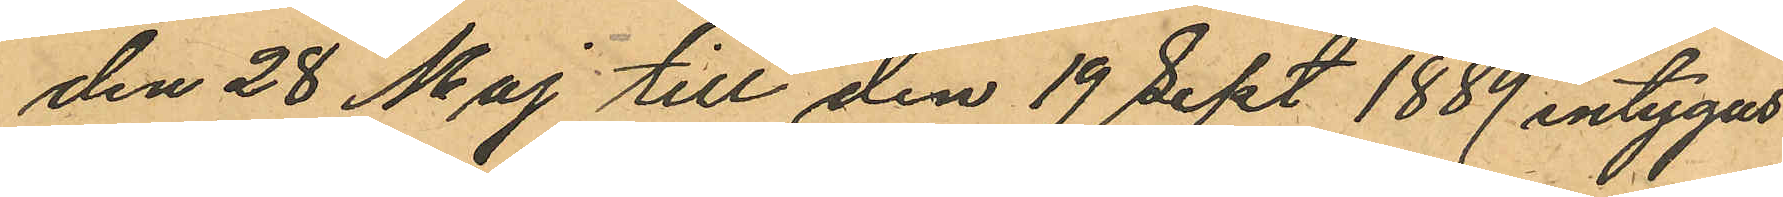den 28 Maj till den 19 Sept 1889 intygas
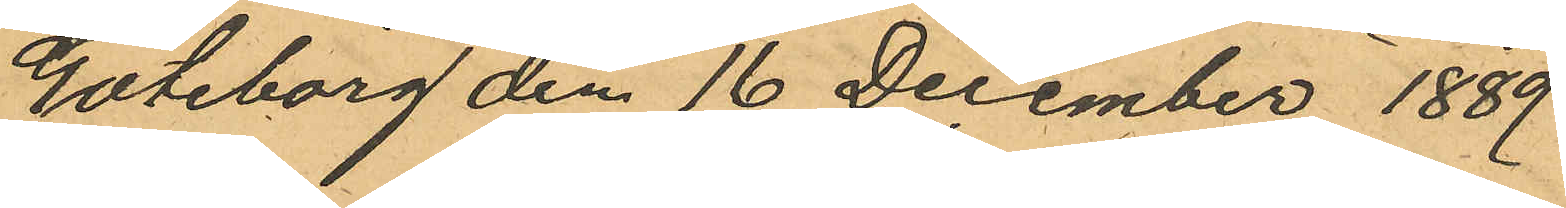Göteborg den 16 December 1889
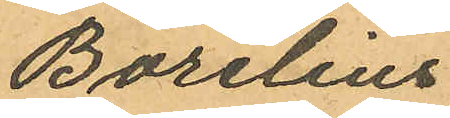Borelius
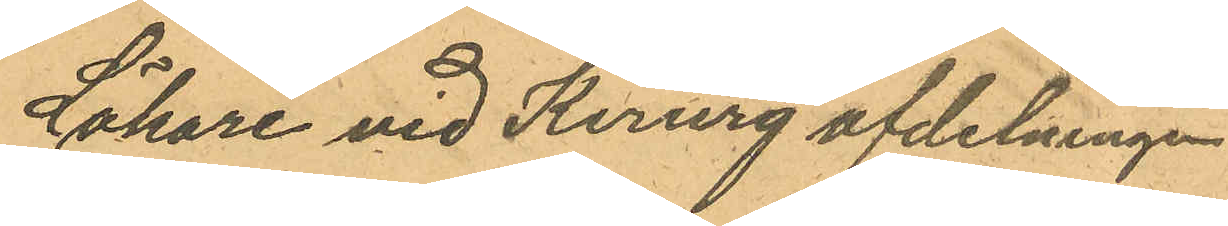Läkare vid Kirurg afdelningen
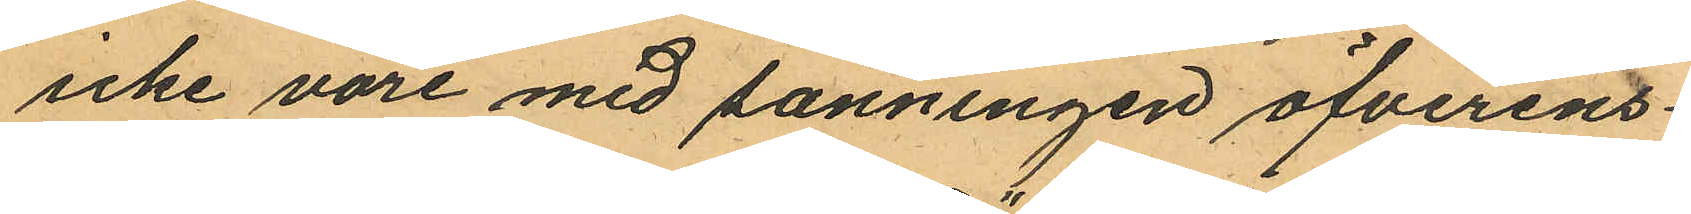icke vore med sanningen öfverens¬
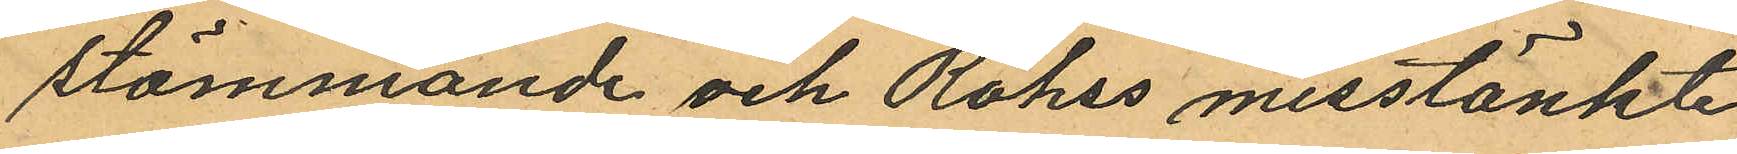stämmande och Röhss misstänkte
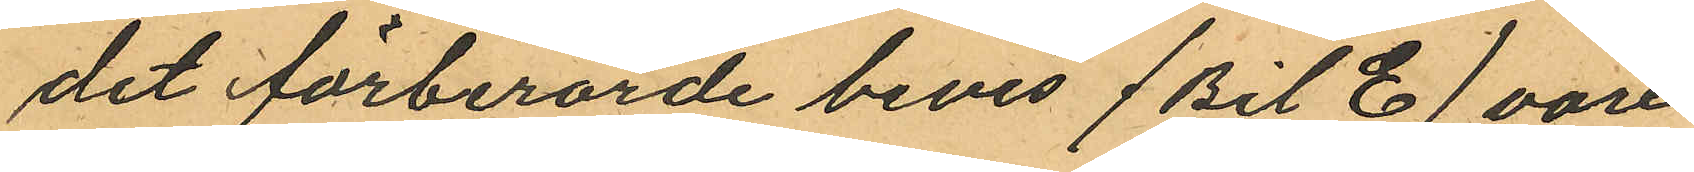det förberörde bevis (Bil E) vore
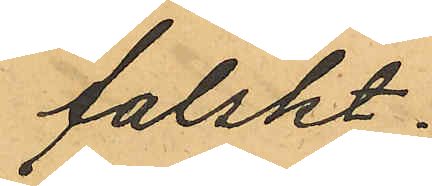falskt.
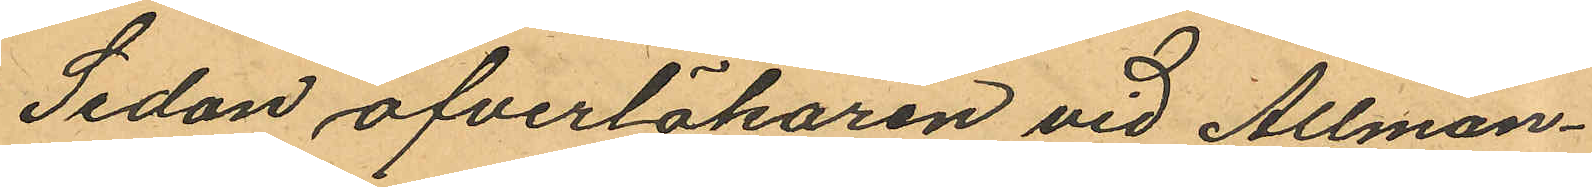Sedan öfverläkaren vid Allmän¬
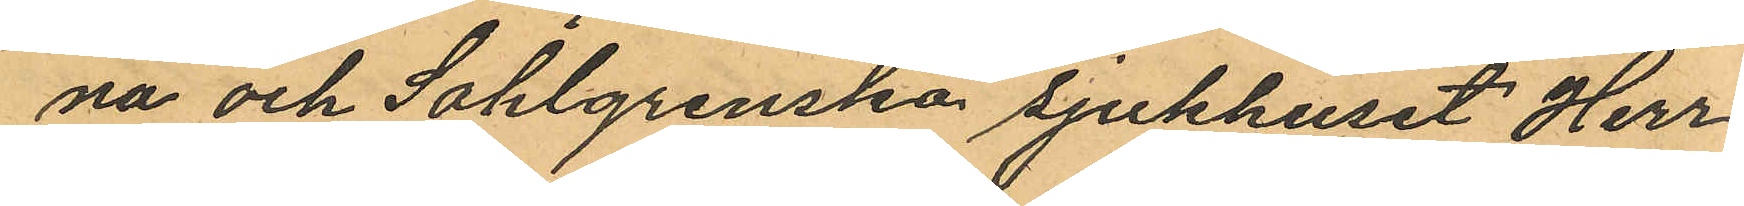na och Sahlgrenska sjukhuset Herr¬
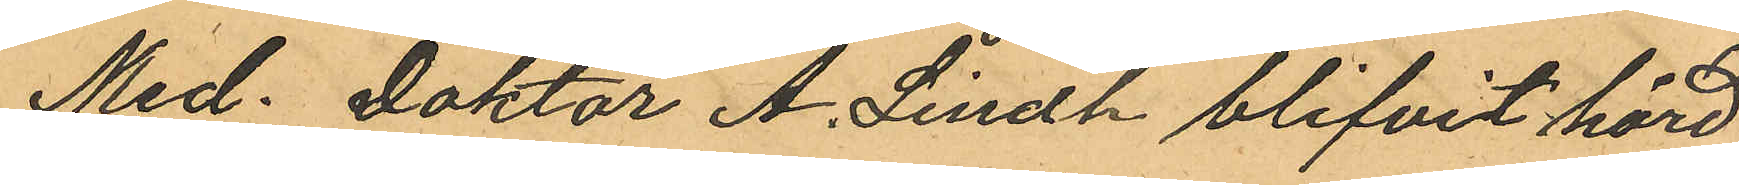Med. Doktor A. Lindh blifvit hörd
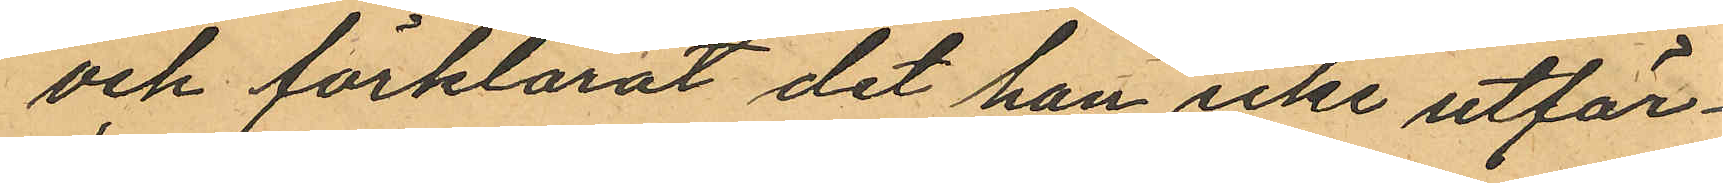och förklarat det han icke utfär¬
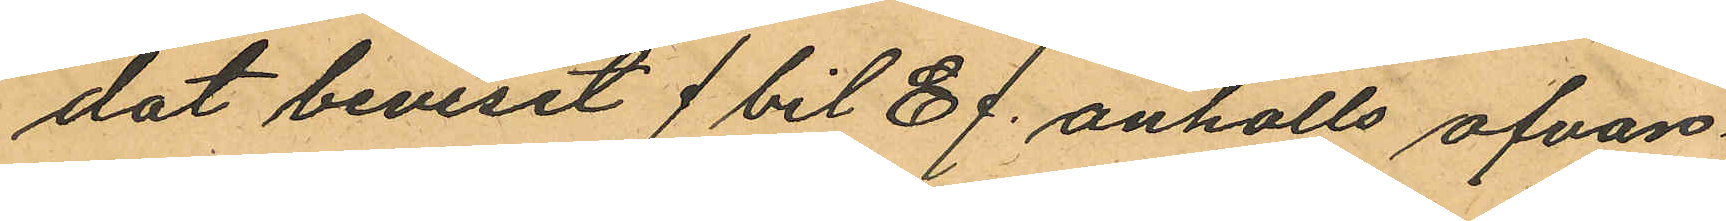dat beviset (bil E). anhölls ofvan¬
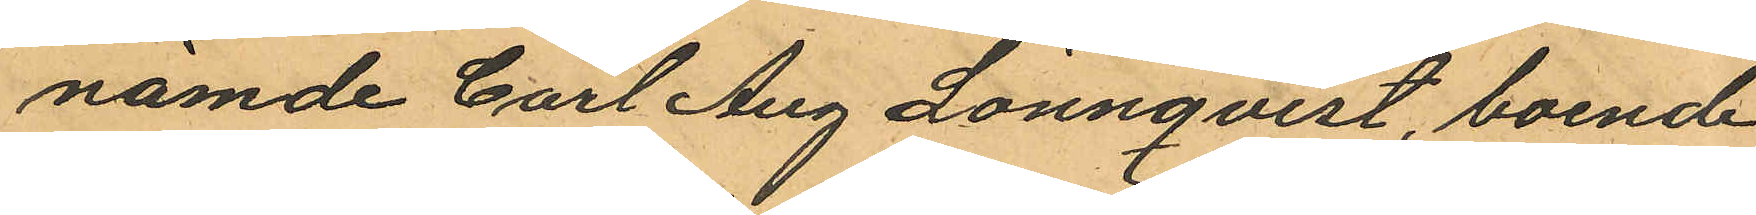nämde Carl Aug Lönnqvist, boende
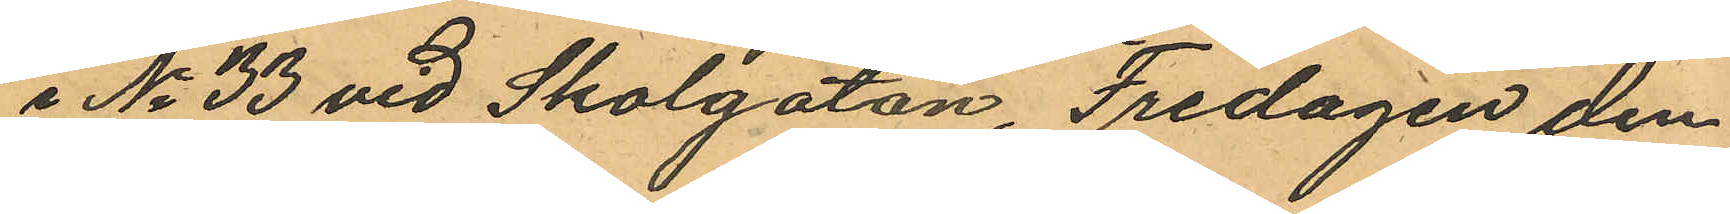i No 33 vid Skolgatan, Fredagen den
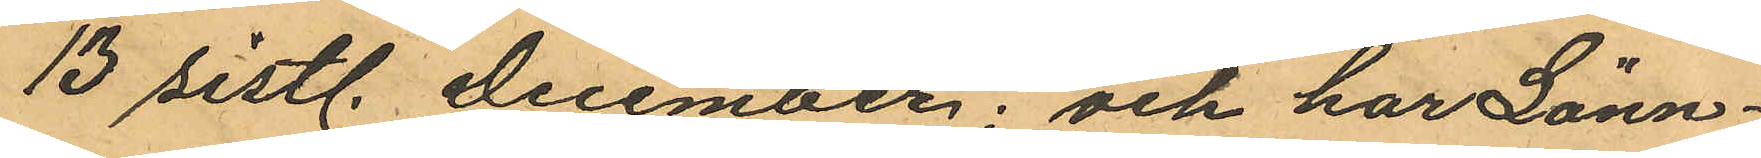13 sistl. December; och har Lönn¬
